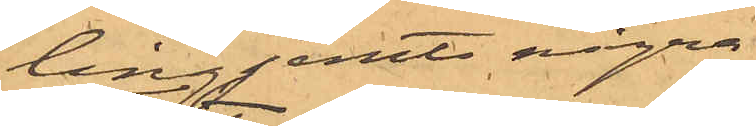ling jemte några
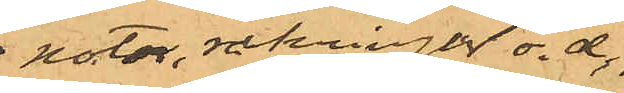notor, räkningar o. d.,
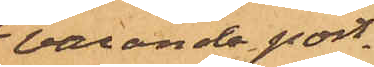varande port¬
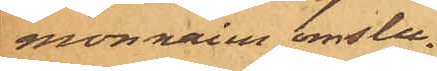monnaien omslu¬
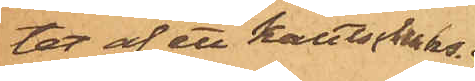tet af ett kautschuks¬
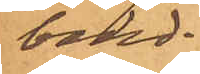band.
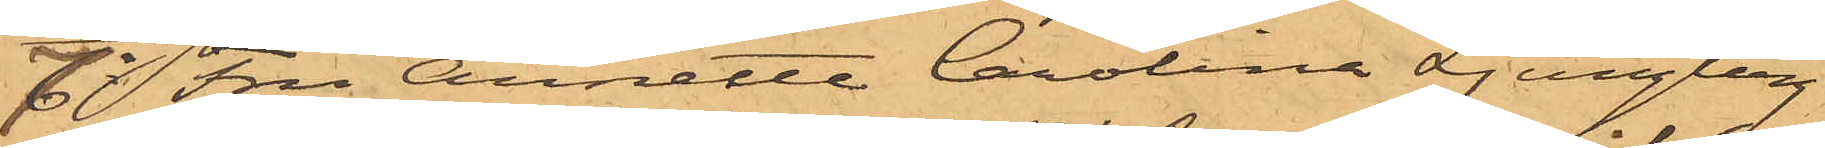7o Fru Annette Carolina Ljungberg
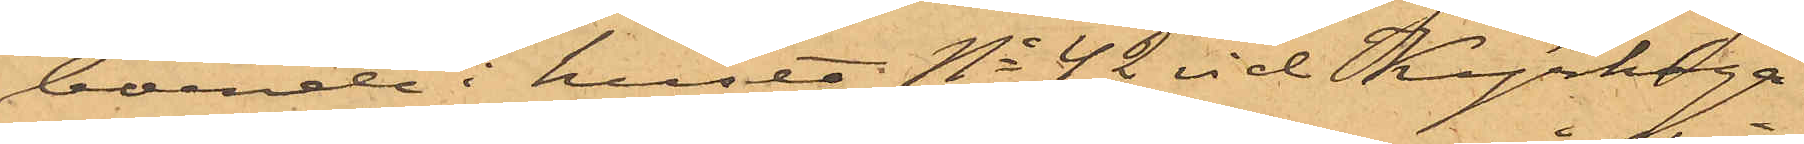boende i huset No 42 vid Kyrkoga¬
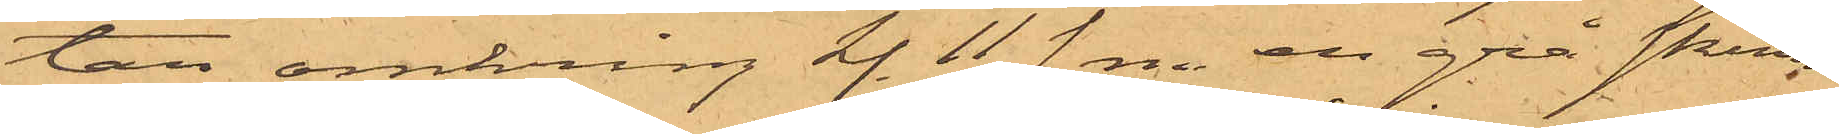tan omkring kl. 11 f. m. en grå skinn¬
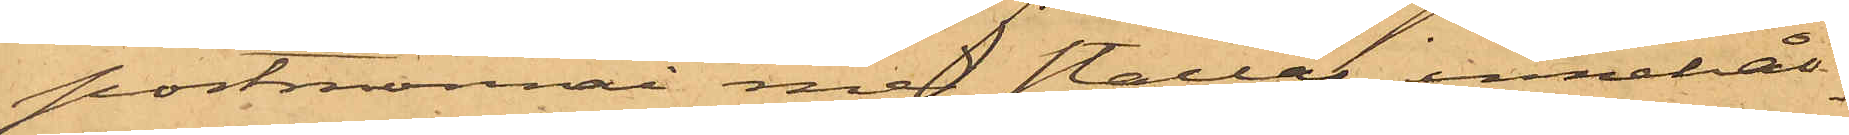portmonnai med stållås, innehål¬
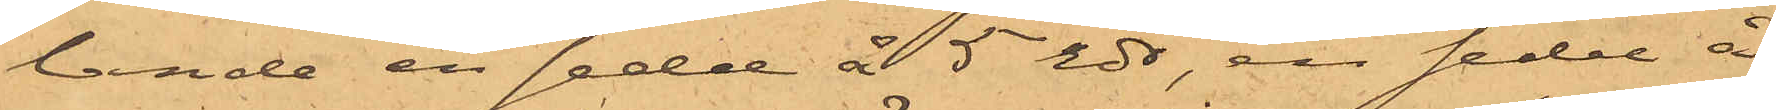lande en sedel å 5 rdr, en sedel å
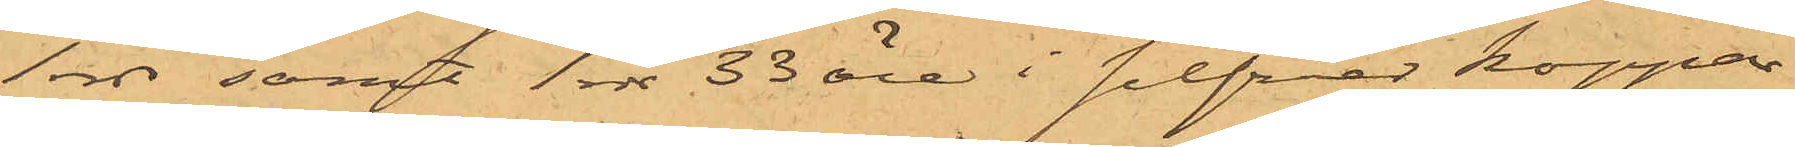1 rdr samt 1 rdr 33 öre i silfver koppar
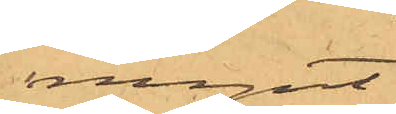mynt
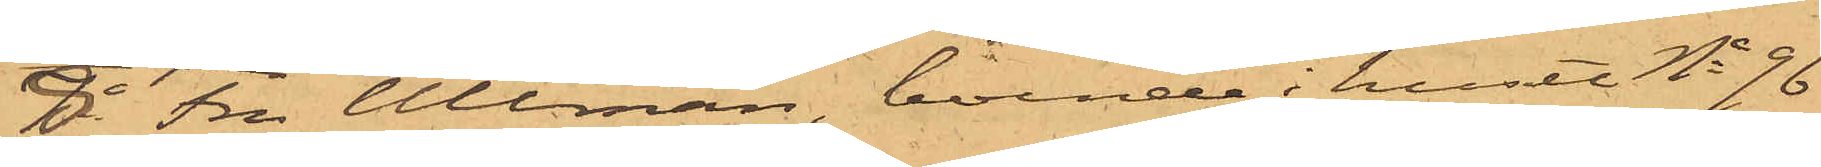8o Fru Ullman, boende i huset No 96
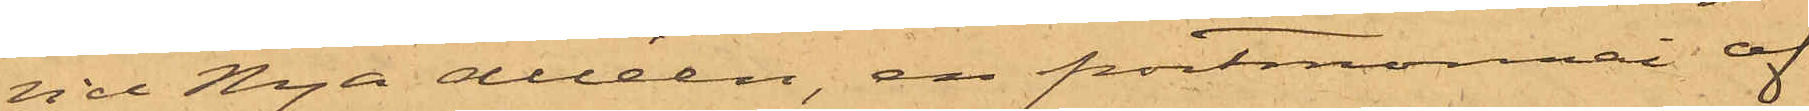vid Nya Alléen, en portmonnai af
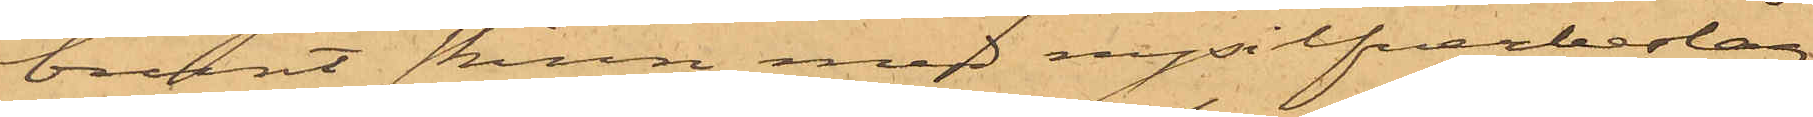brunt skinn med nysilfverbeslag
